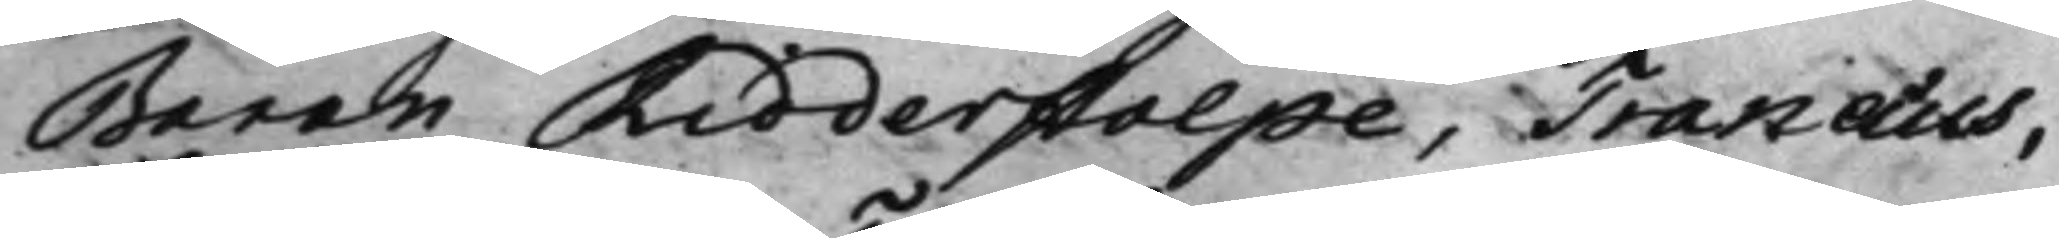Baron Ridderstolpe, Tranæus,
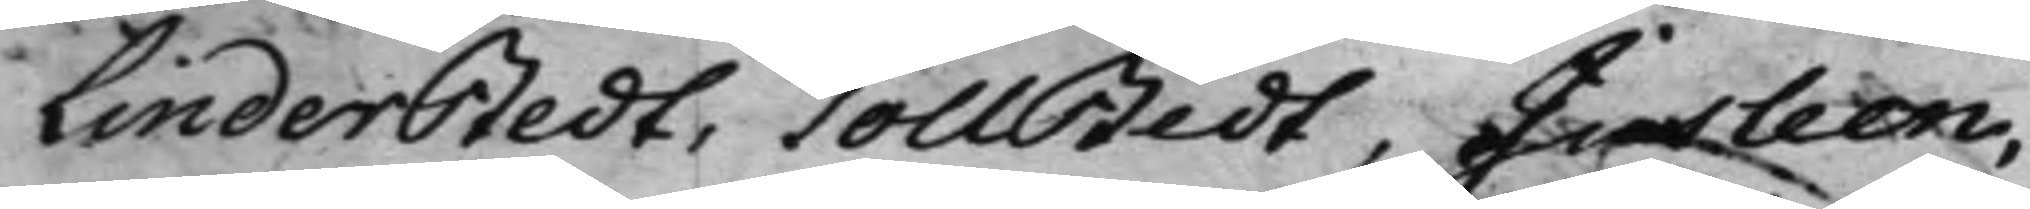Linderstedt, Tollstedt, Jusleen,
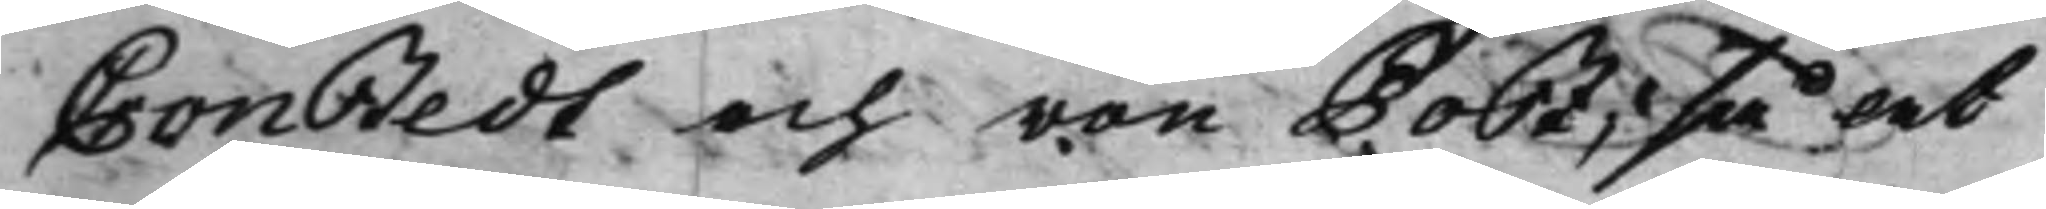Cronstedt och von Post, så at
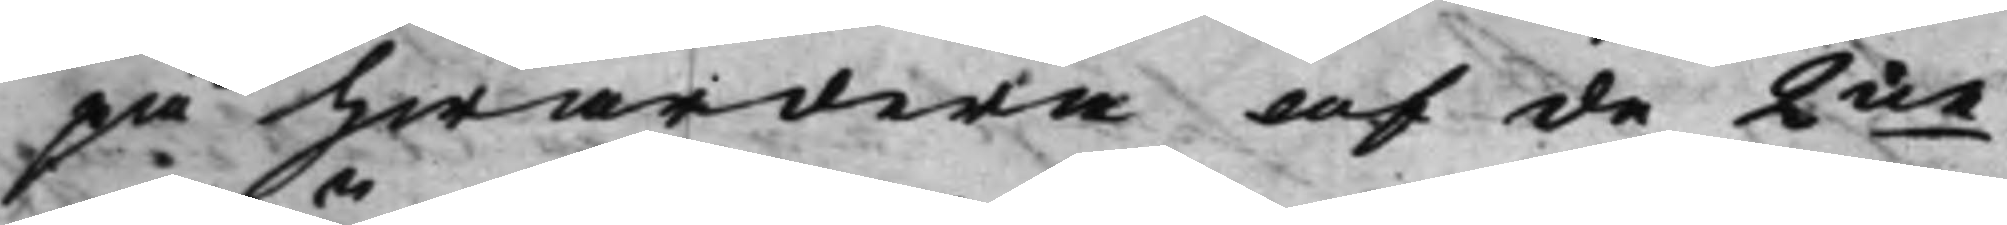på hwardera af de 2ne 
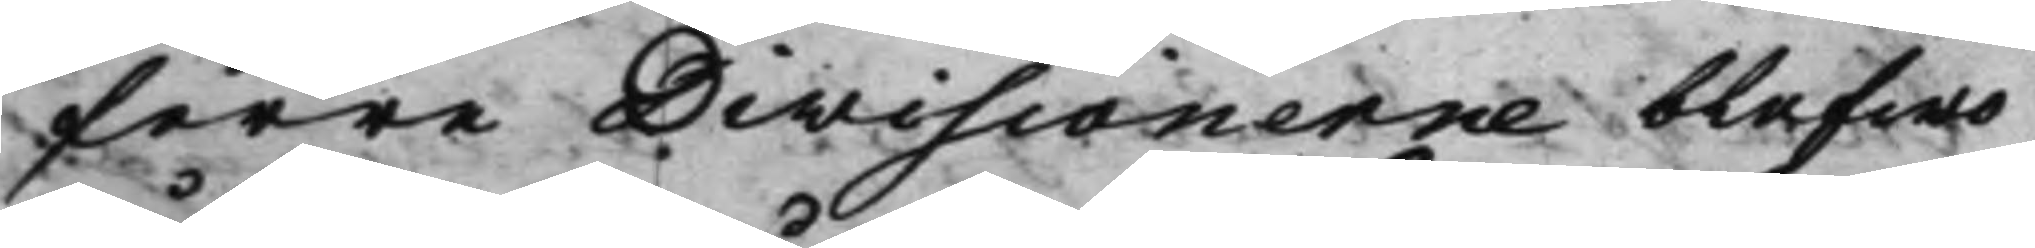förre Divisionerne blefwo
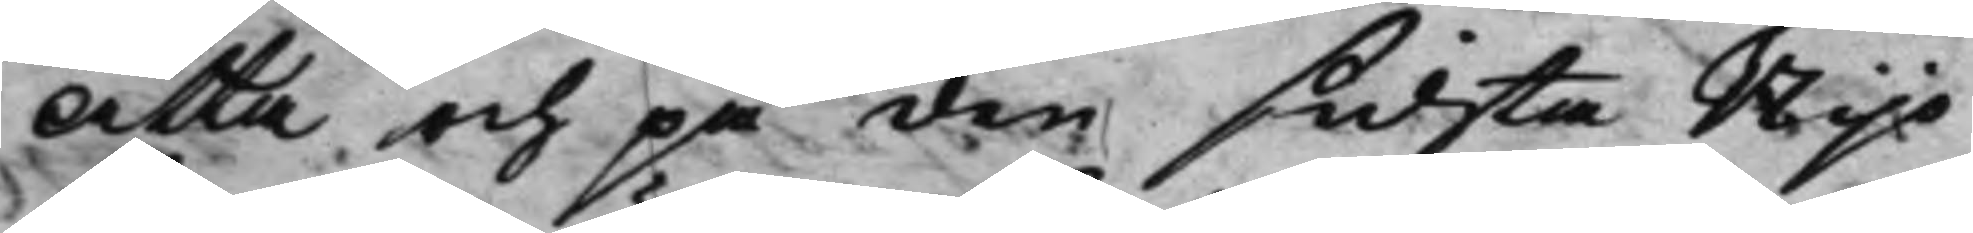Åtta och på den sidsta Nijo
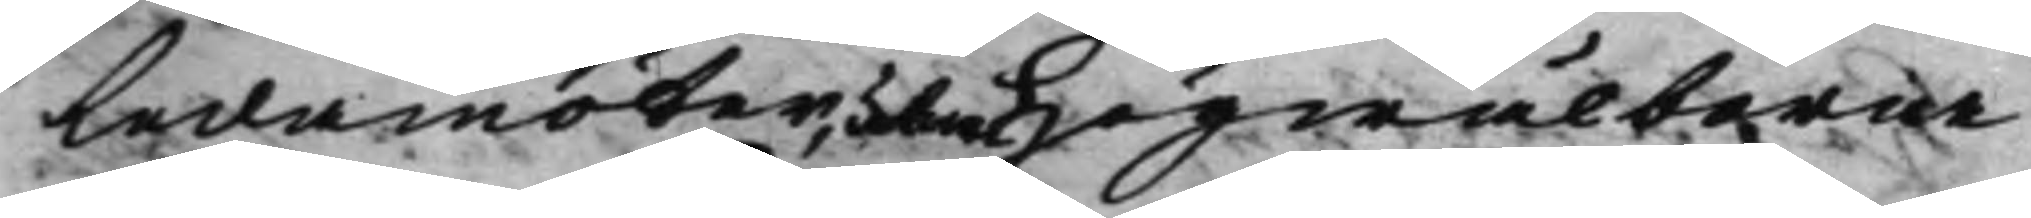Ledamöter, utom Högwälborne
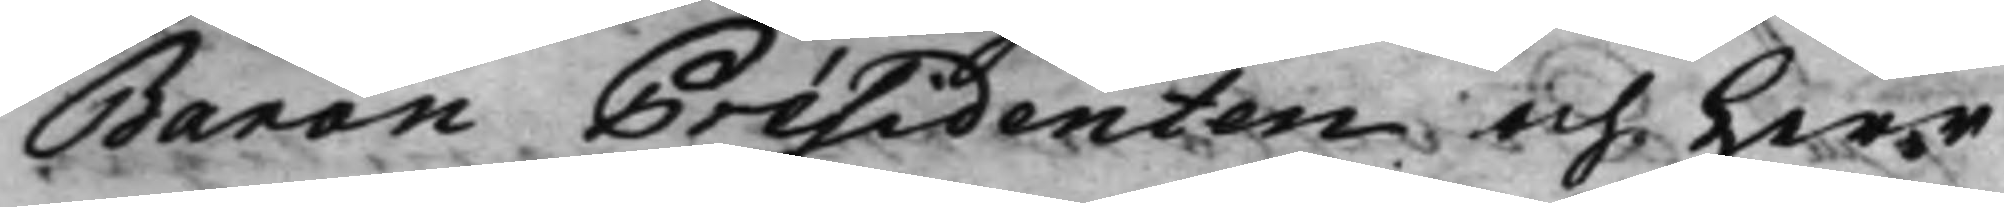Baron Présidenten och Herr
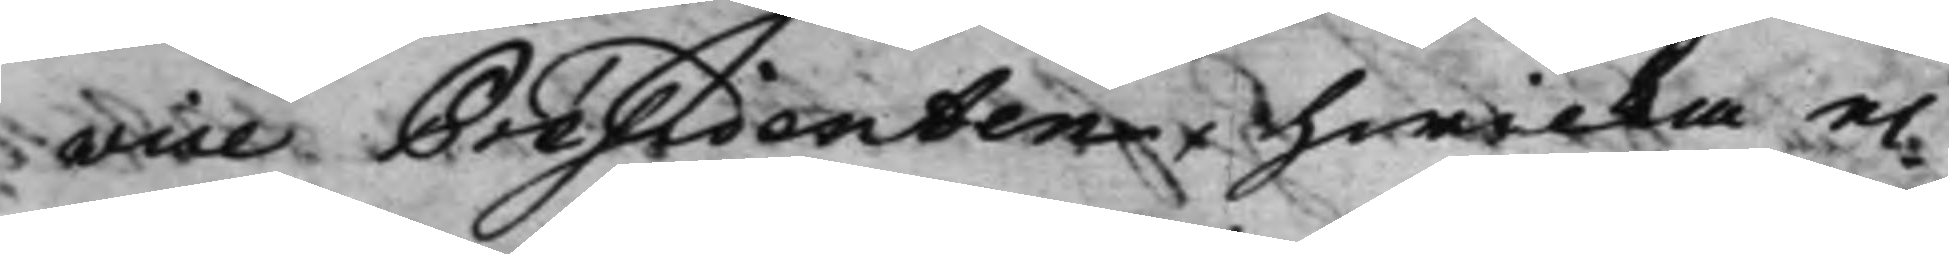wice Présidenten, hwilka ei
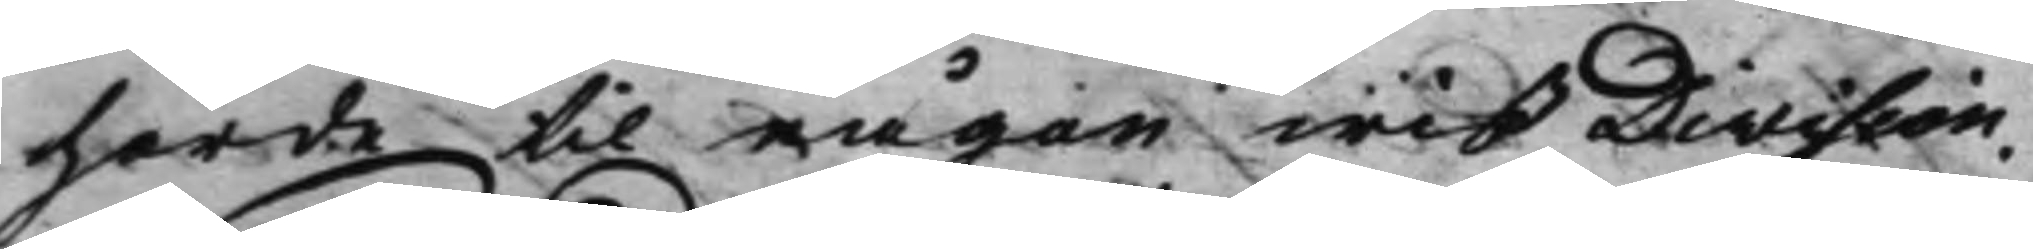hörde til någon wiß Division.
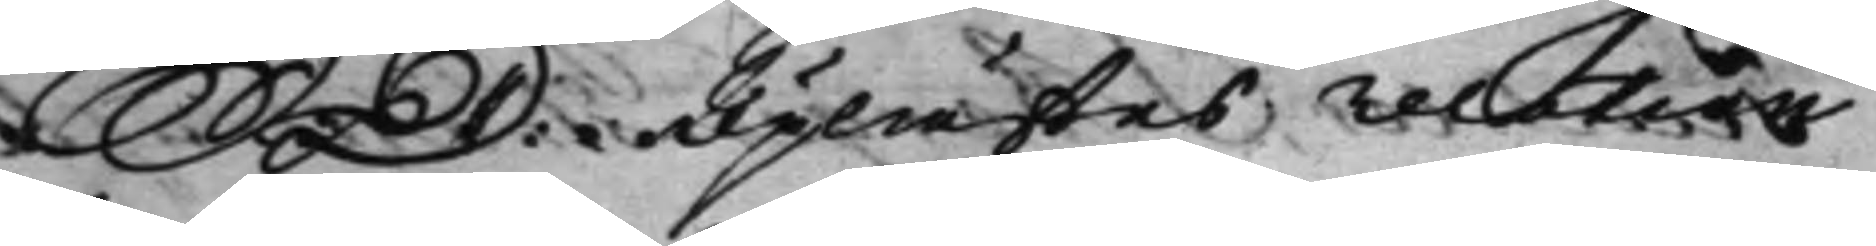S: D: Uplästes relation 
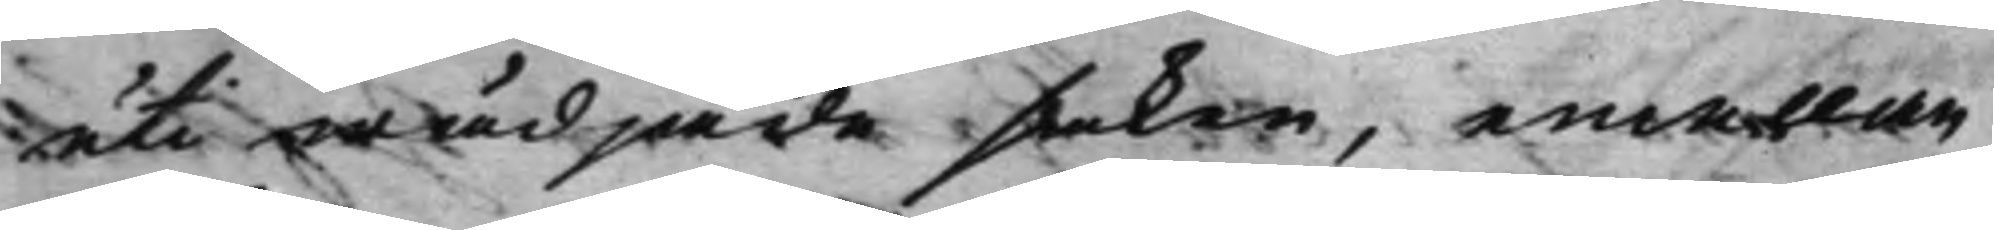uti wädjade saken, emellan
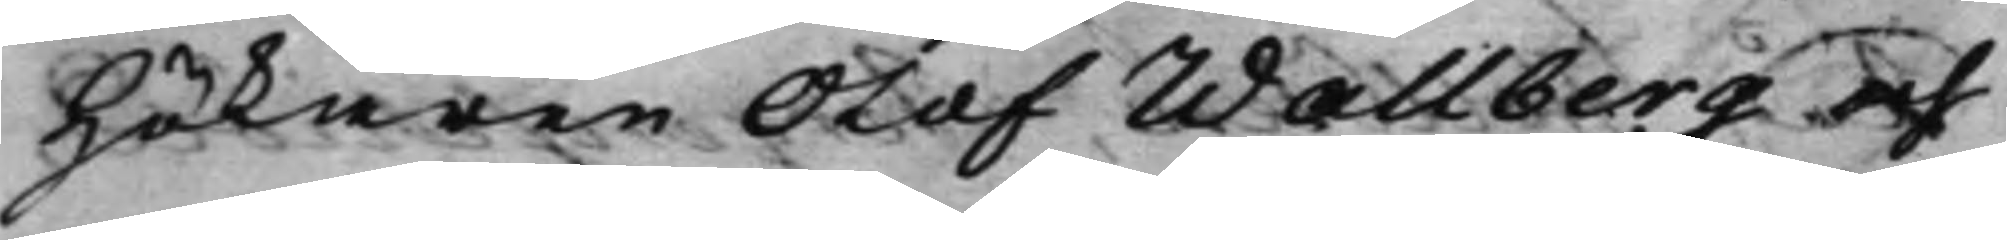Hökaren Olof Wallberg och
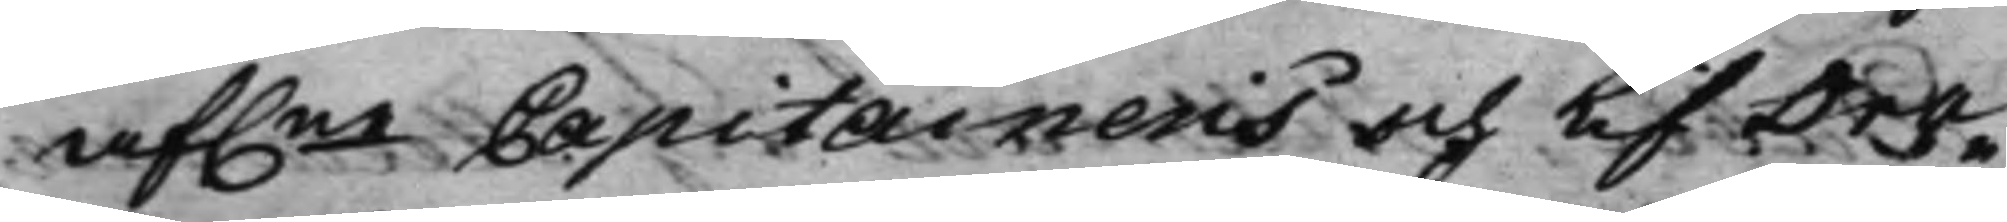af.ne Capitainens och LifDra¬ 
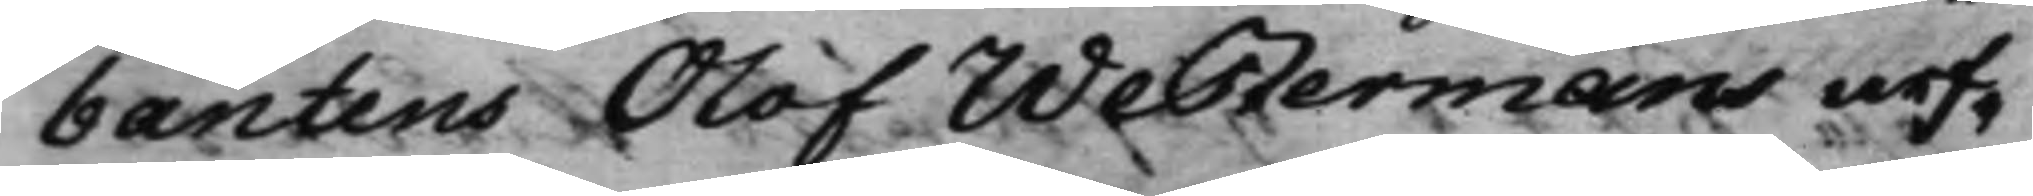bantens Olof Westermans arf¬
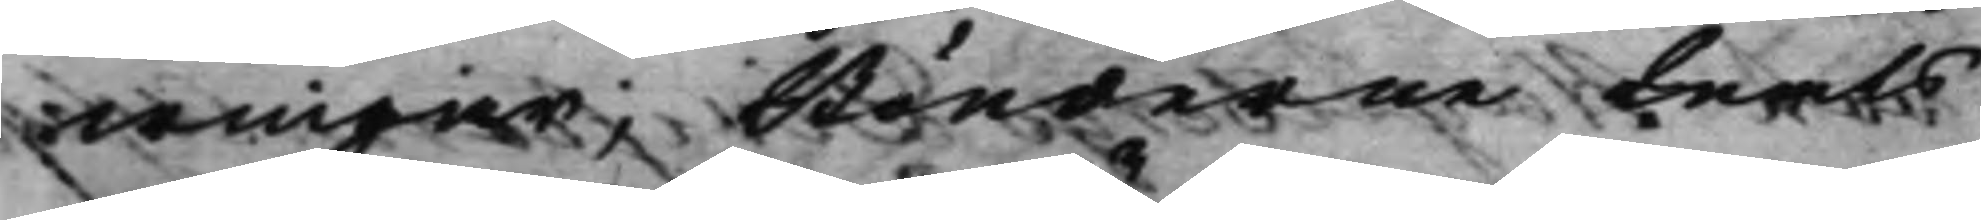wingar, Bönderne Mats
